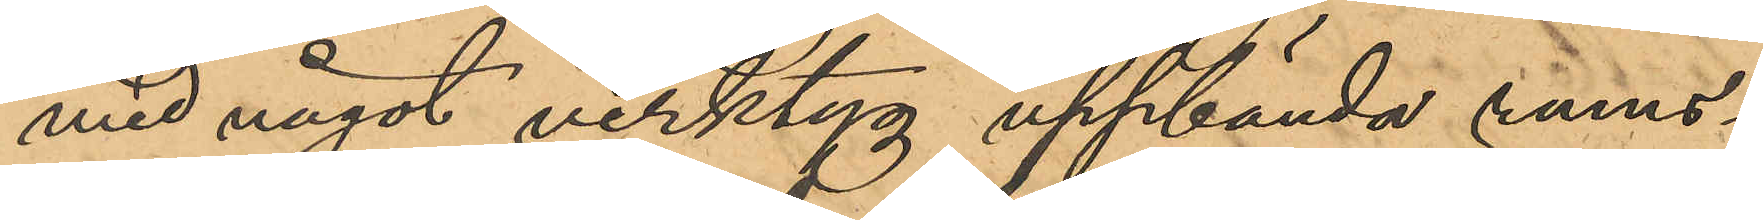med något verktyg uppbända rums¬
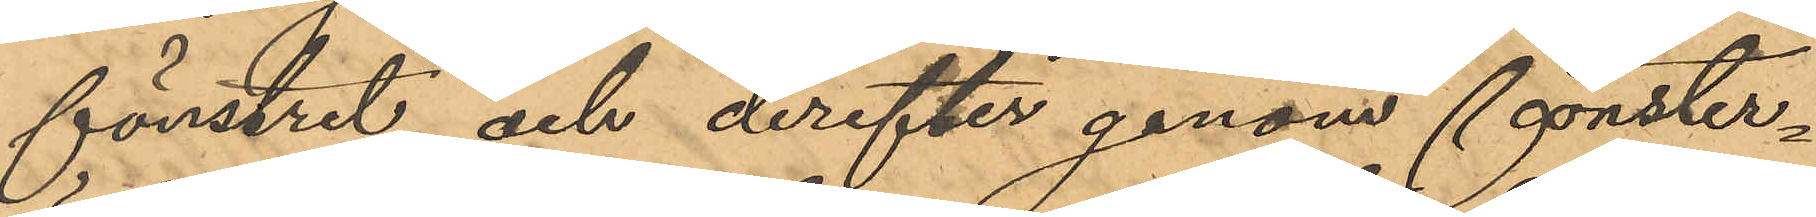fönstret och derefter genom fönster¬
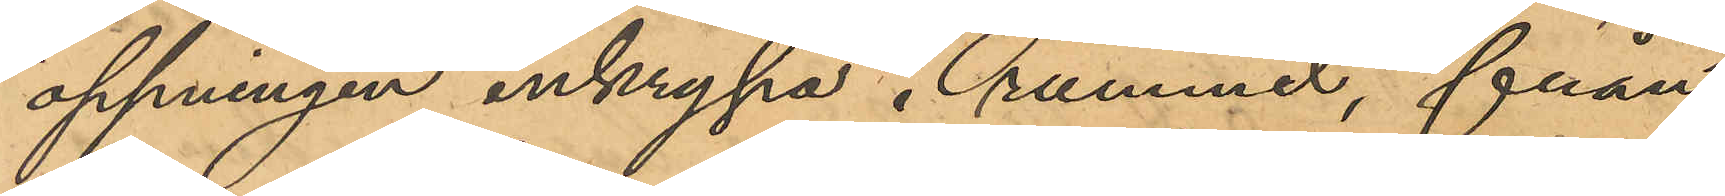öppningen inkrypa i rummet, från
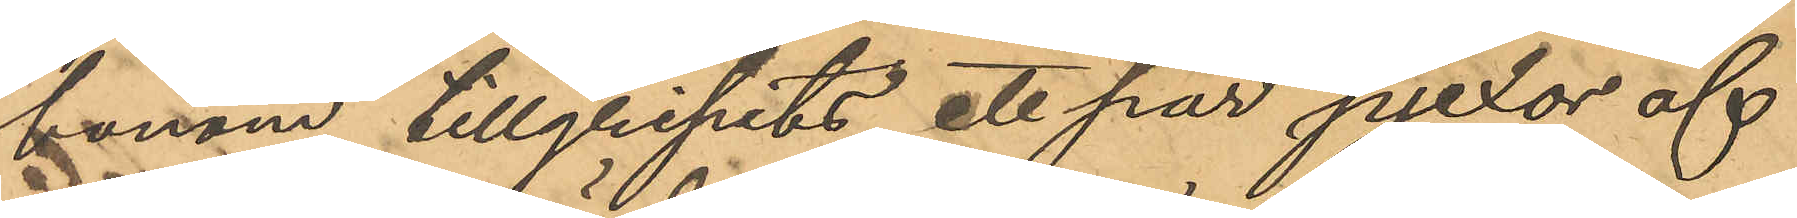honom tillgripits ett par pjexor af
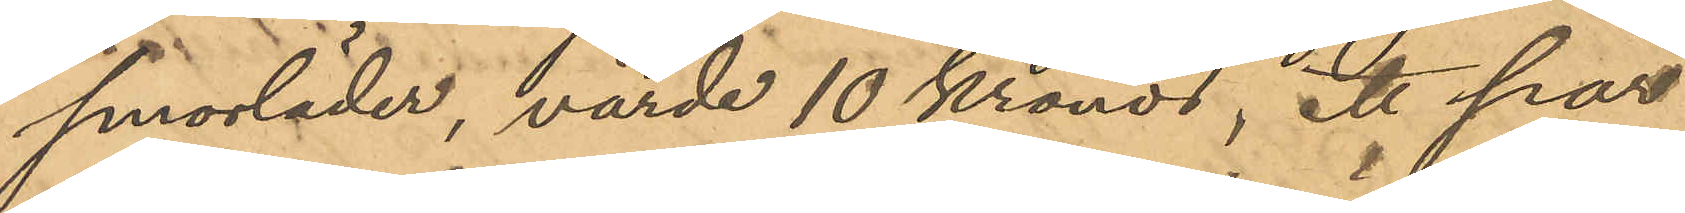smorläder, värde 10 Kronor, ett par
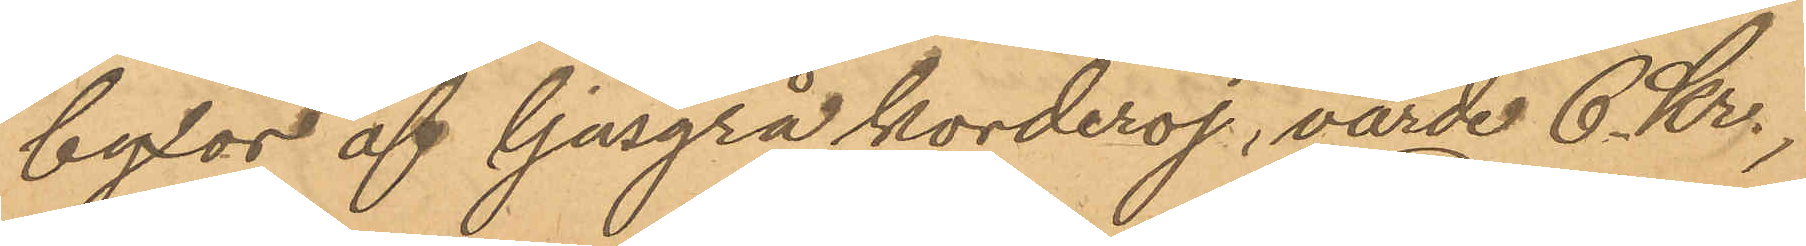byxor af ljusgrå korderoj, värde 6 Kr.,
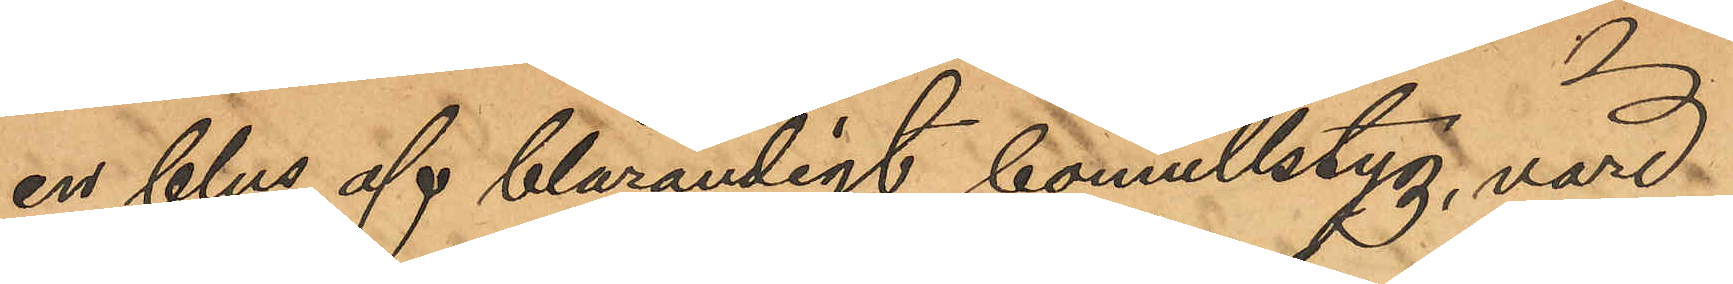en blus af blårandigt bomullstyg, värd
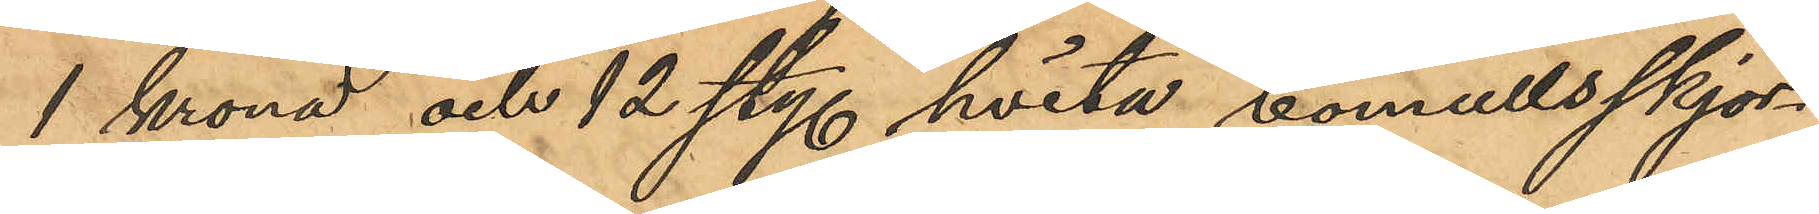1 krona och 12 sty hvita bomullsskjor¬
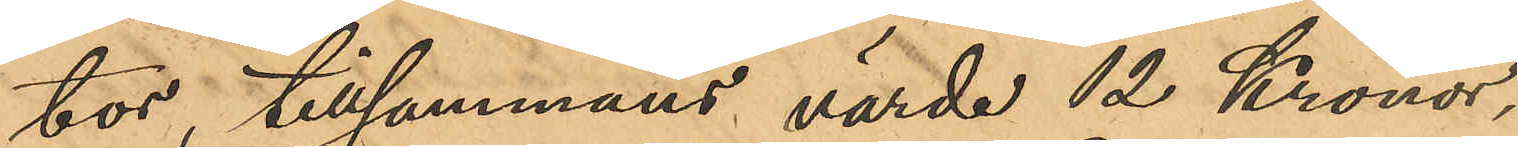tor, tillsammans värde 12 Kronor;
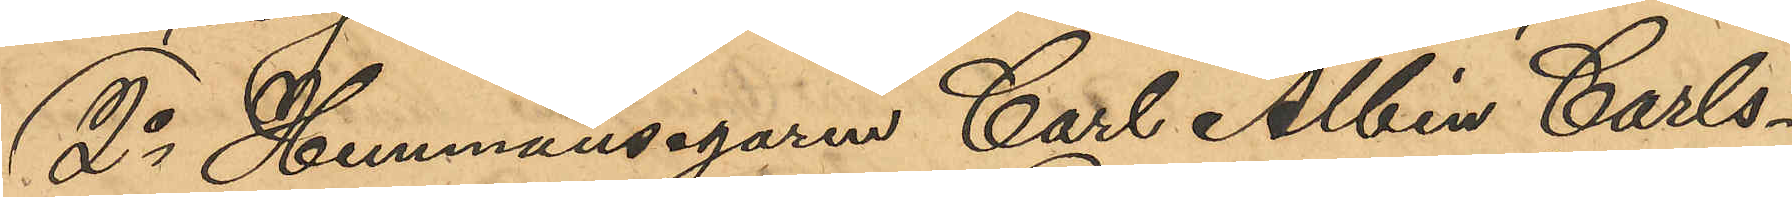2o Hemmansägaren Carl Albin Carls¬
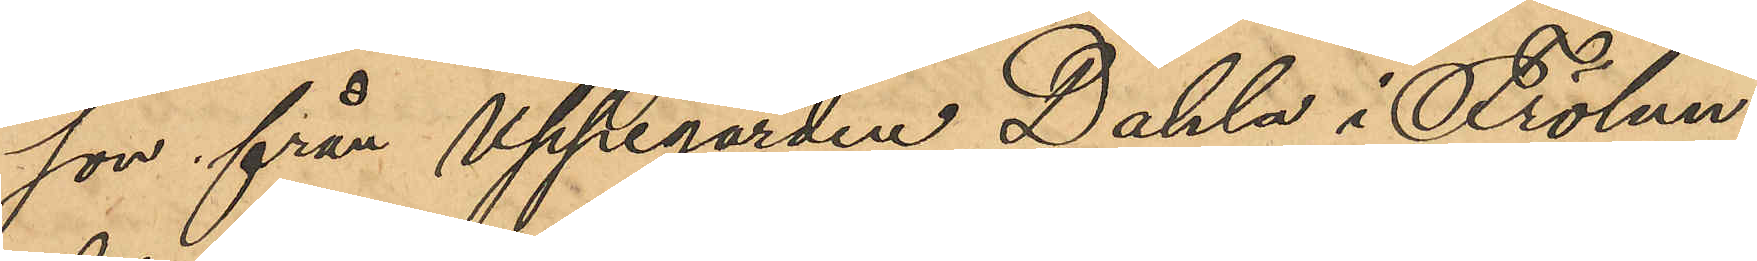son från Uppegården Dahla i Frölun¬
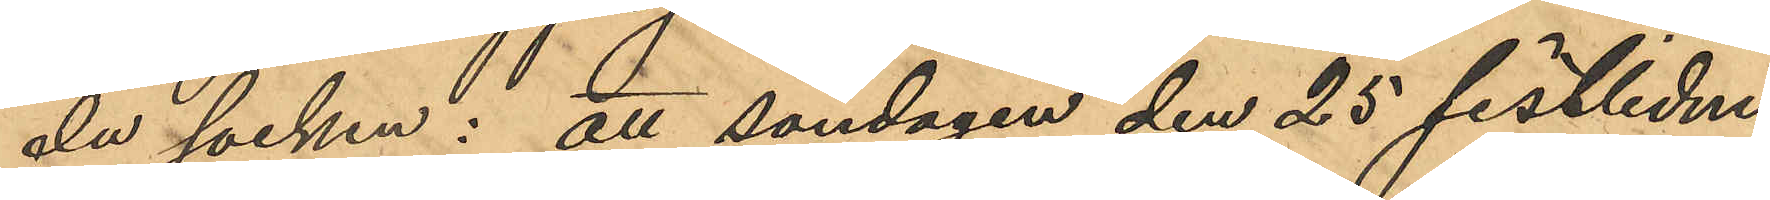da socken: att söndagen den 25 sistlidne
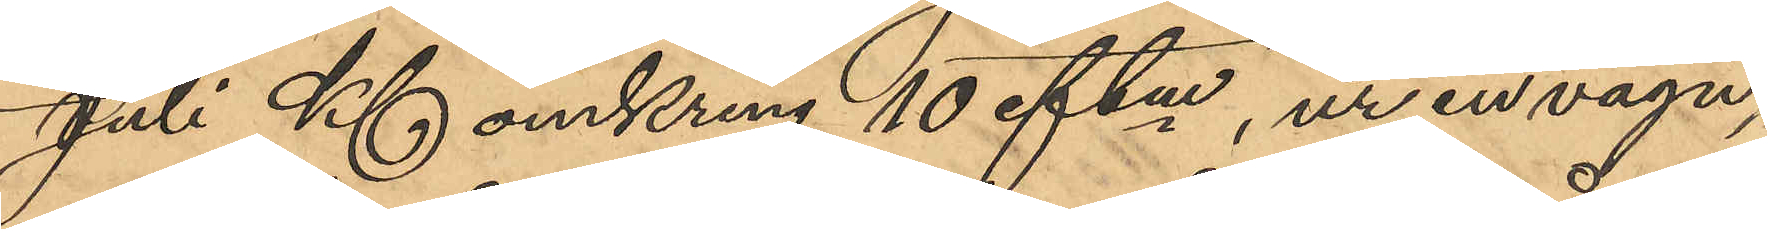Juli Kl omkring 10 eftm, ur en vagn,
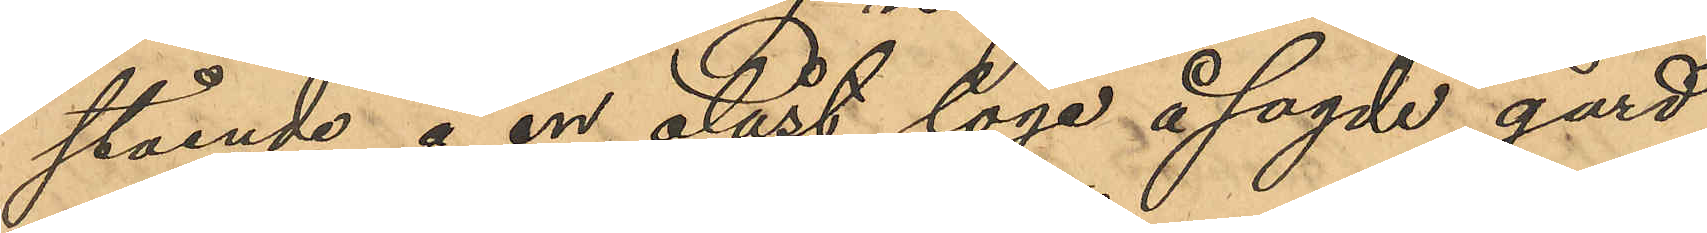stående å en olåst loge å sagde gård,
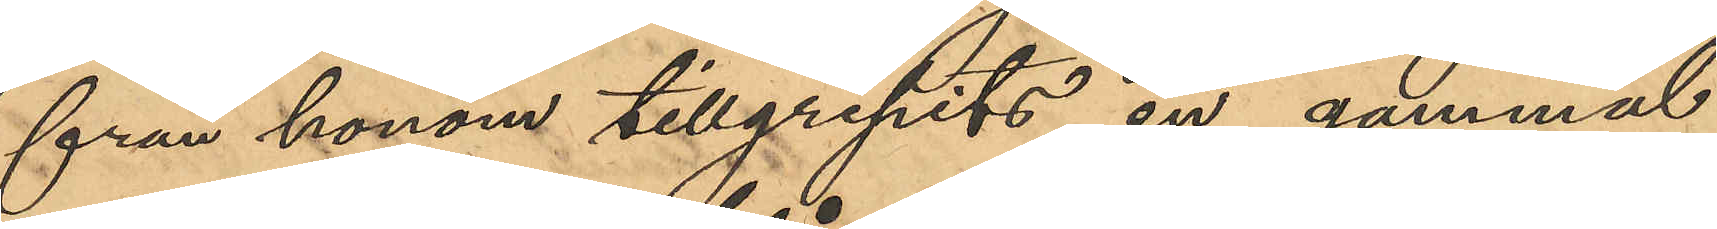från honom tillgripits en gammal
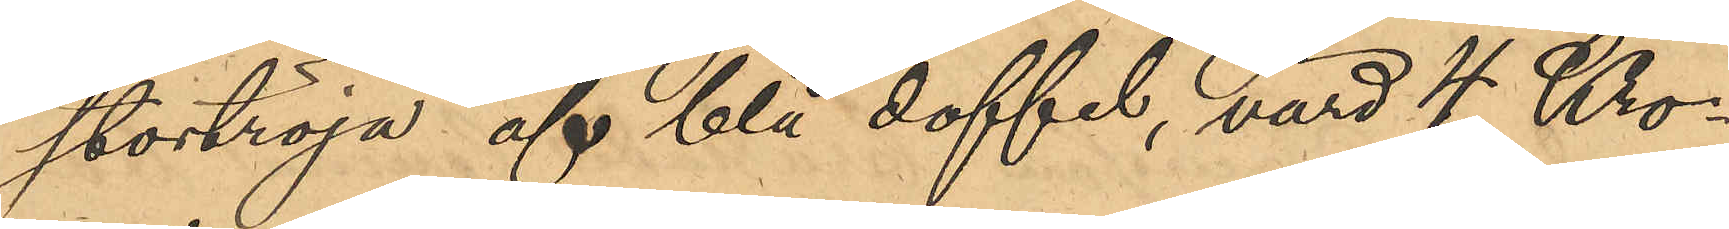stortröja af blå doffel, värd 4 Kro¬
